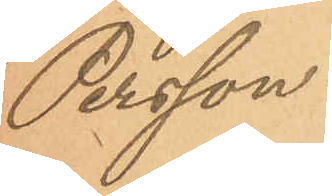Persson.
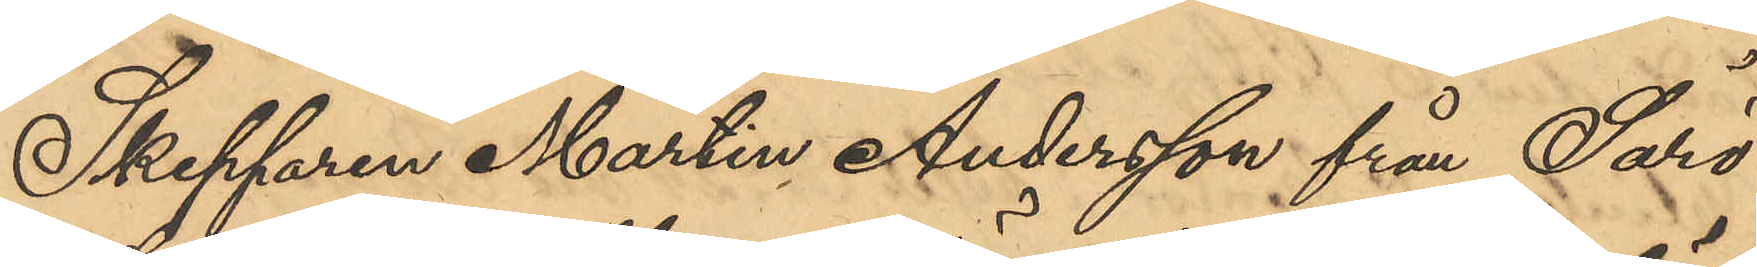Skepparen Martin Andersson från Särö
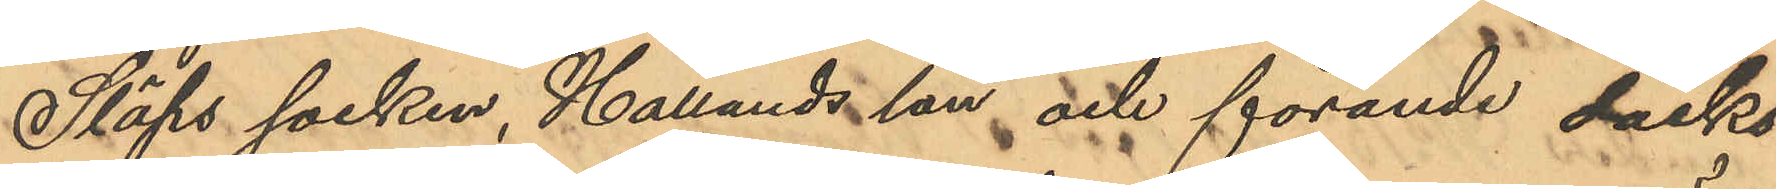i Släps socken, Hallands län och förande däcks¬
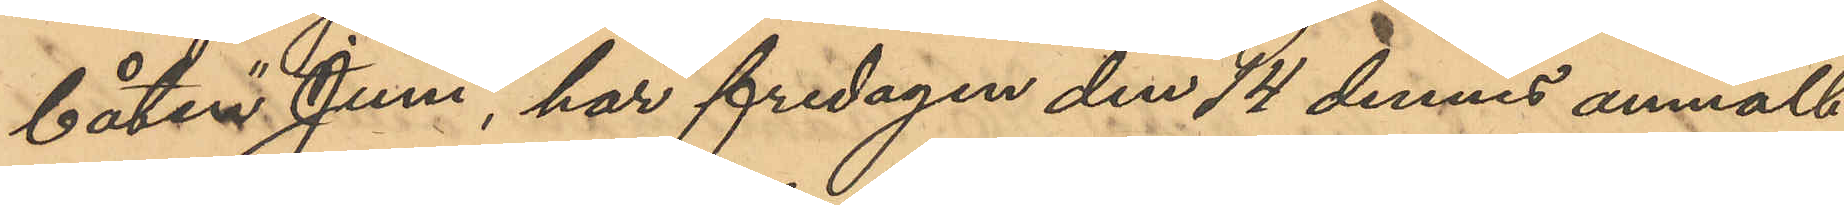båten "Juni", har fredagen den 14 dennes anmält
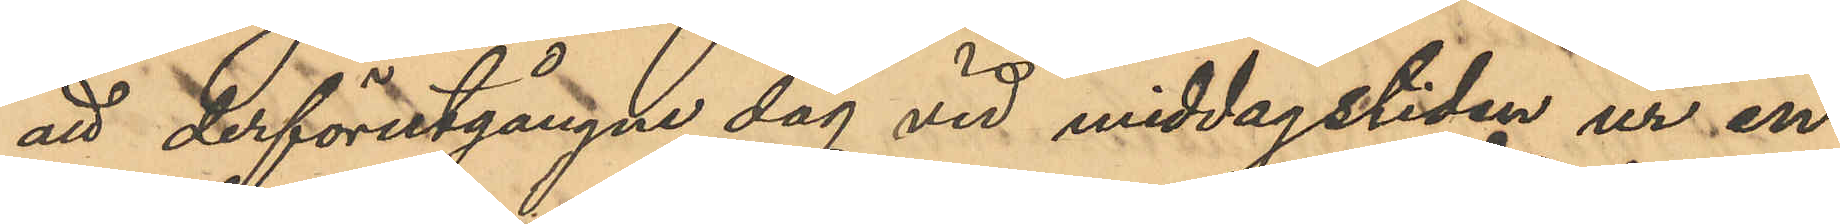att derförutgångne dag vid middagstiden ur en
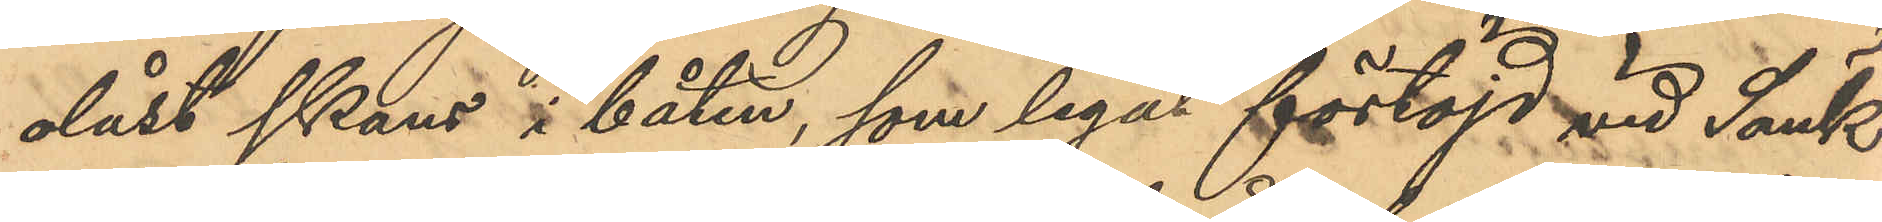olåst skans i båten, som legat förtöjd vid Sänk¬
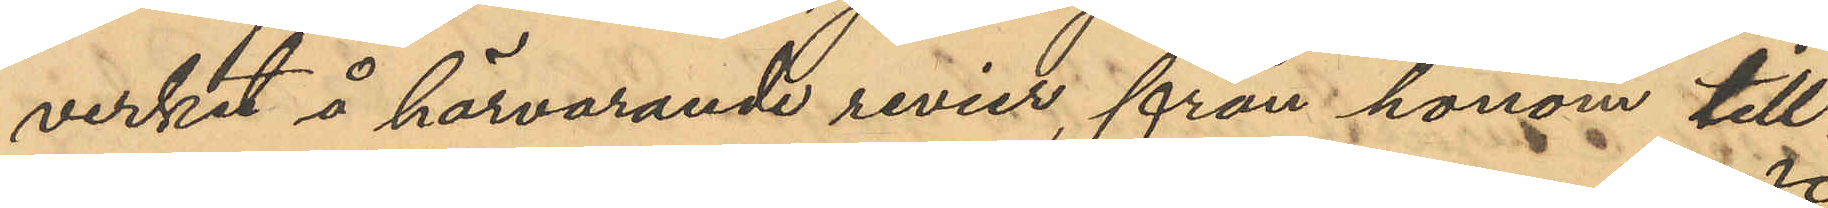verket å härvarande revier, från honom till¬
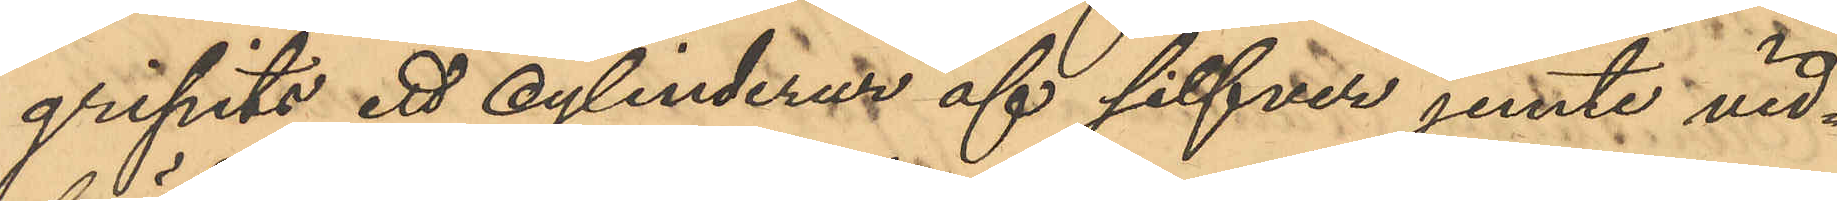gripits ett cylinderur af silfver jemte vid¬
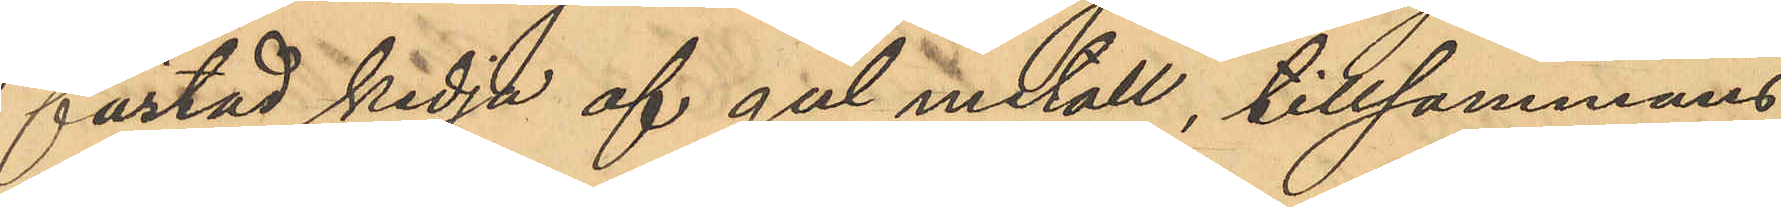fästad kedja af gul metall, tillsammans
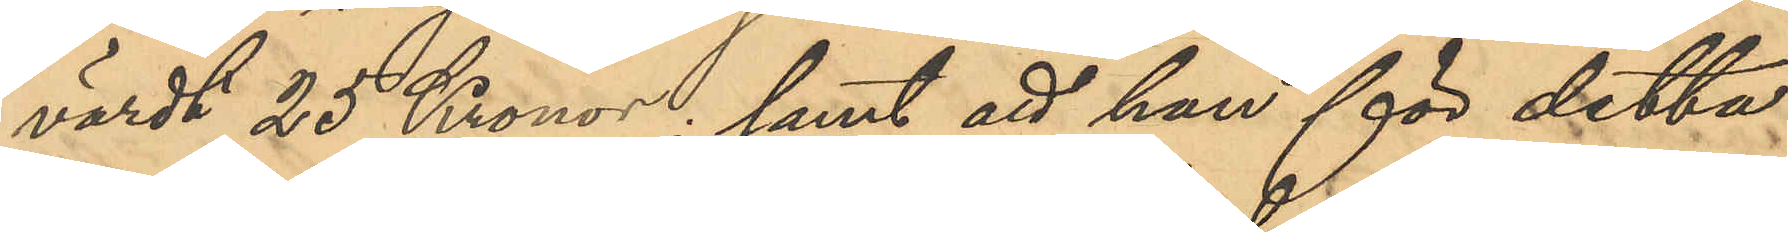värdt 25 Kronor; samt att han för detta
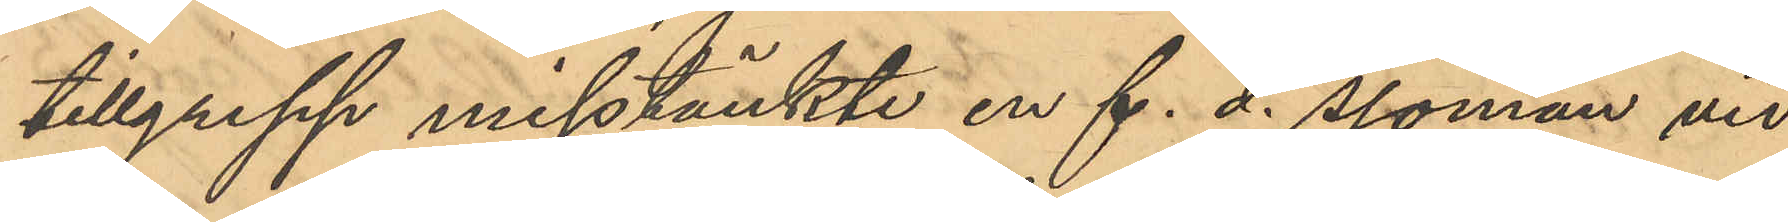tillgrepp misstänkte en f. d. sjöman vid
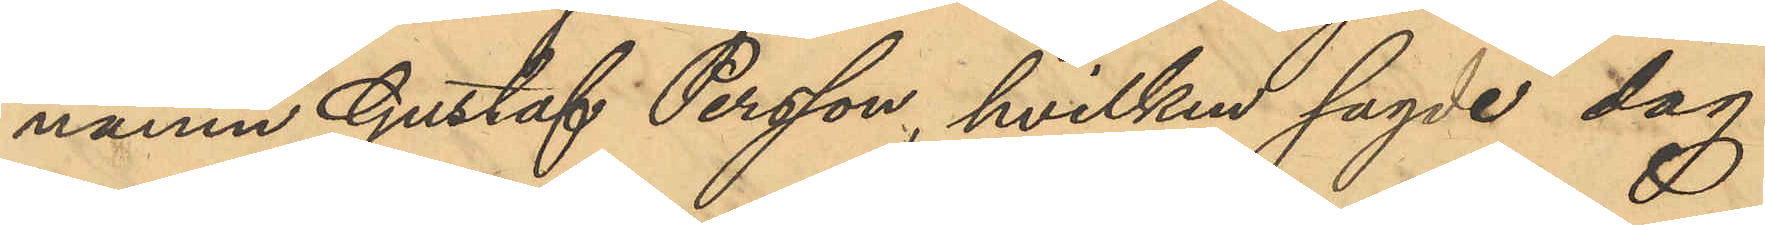namn Gustaf Persson, hvilken sagde dag
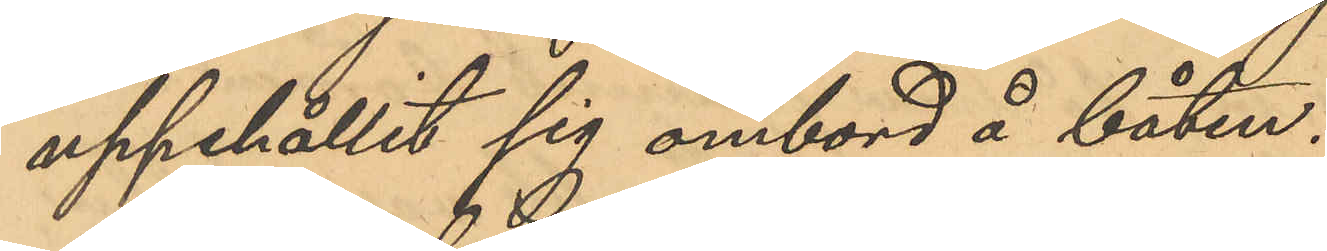uppehållit sig ombord å båten.
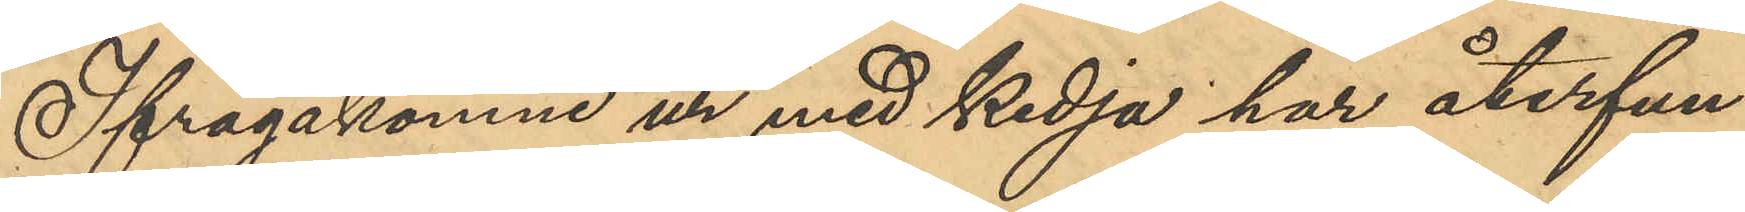Ifrågakomne ur med kedja har återfun¬
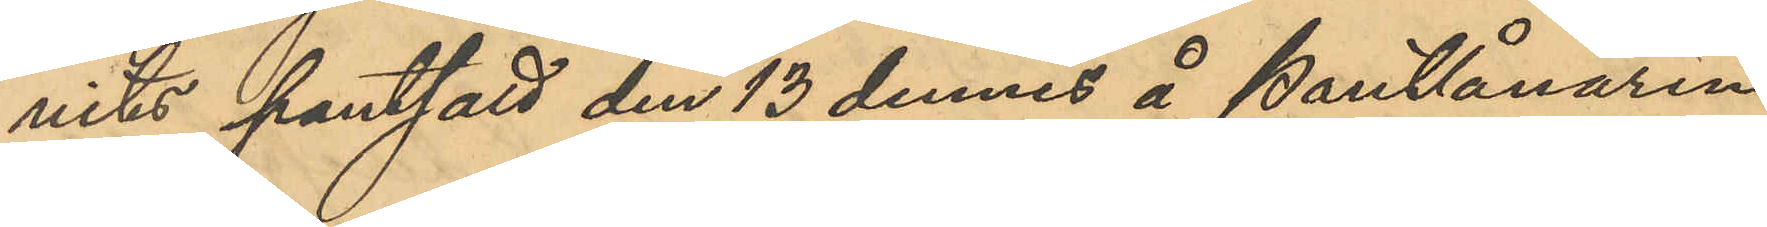nits pantsatt den 13 dennes å Pantlånaren
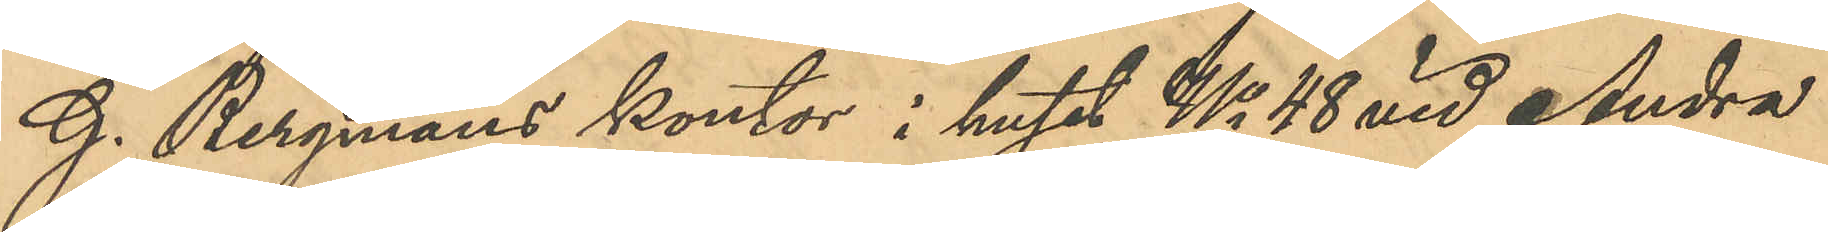G. Bergmans kontor i huset No 48 vid Andra
